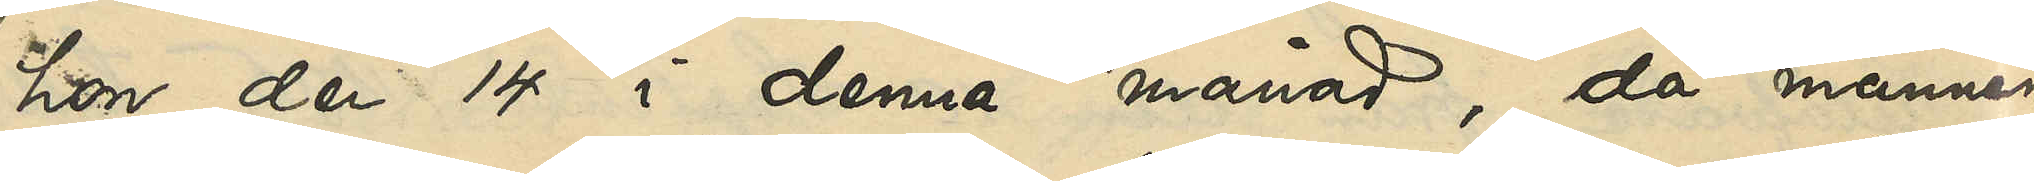hon den 14 i denna månad, då mannen
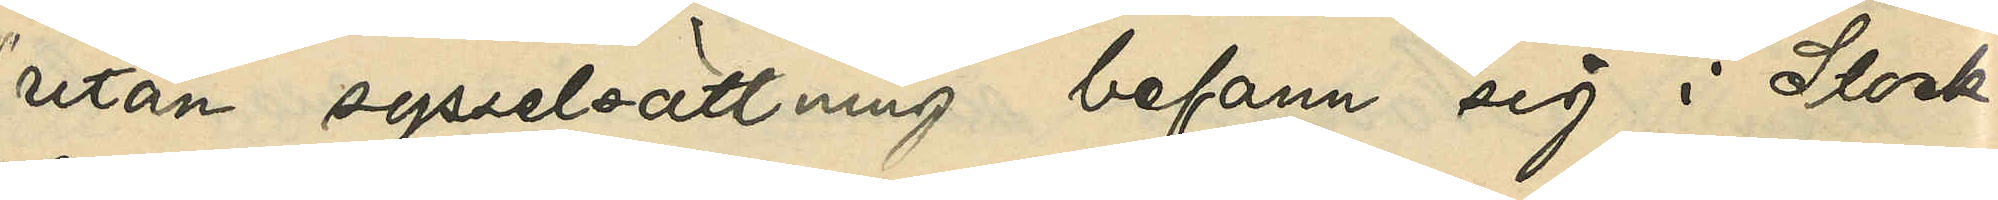utan sysselsättning befann sig i Stock¬
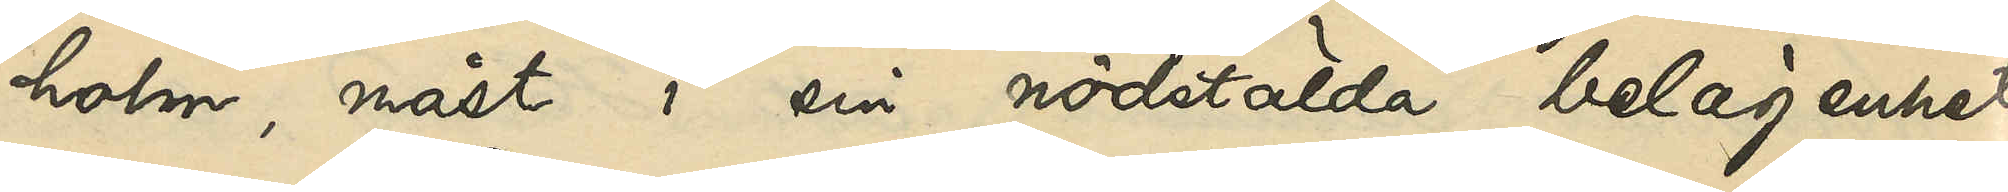holm, måst i sin nödstälda belägenhet
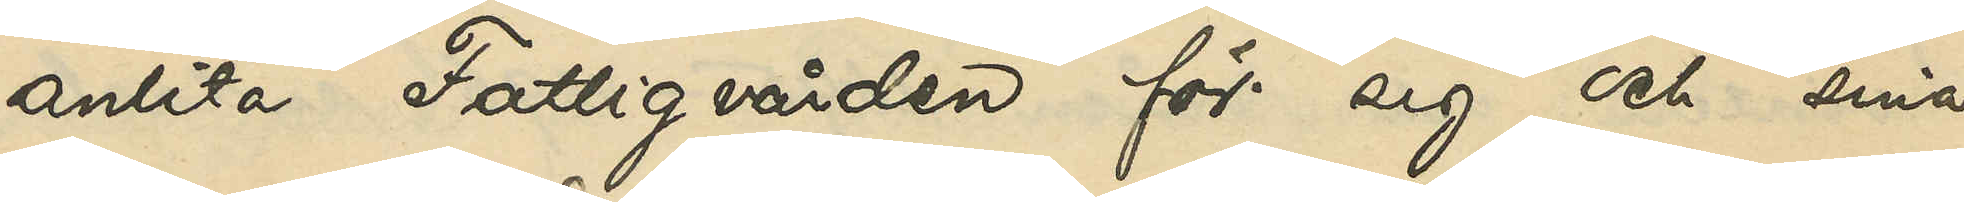anlita Fattigvården för sig och sina
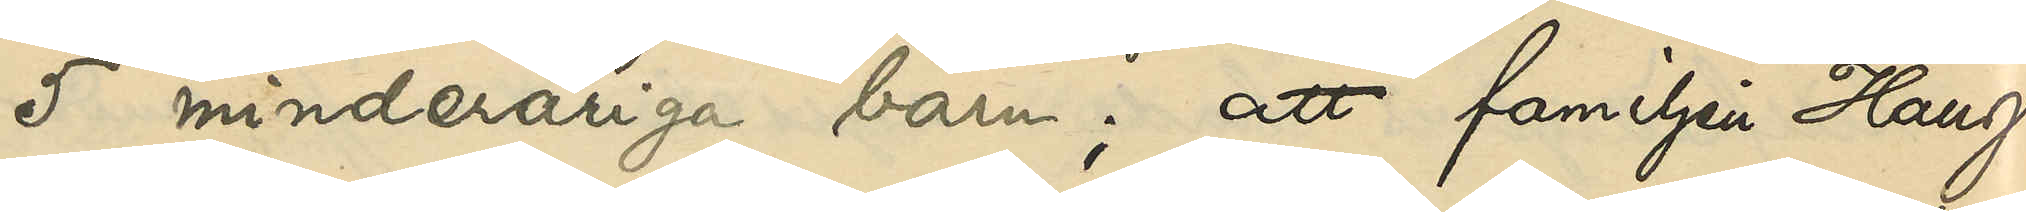5 minderåriga barn; att familjen Haug
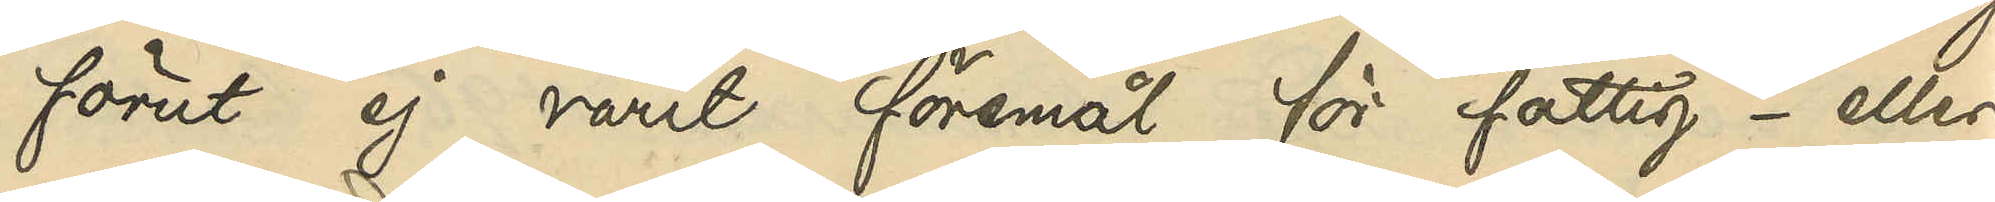förut ej varit föremål för fattig- eller
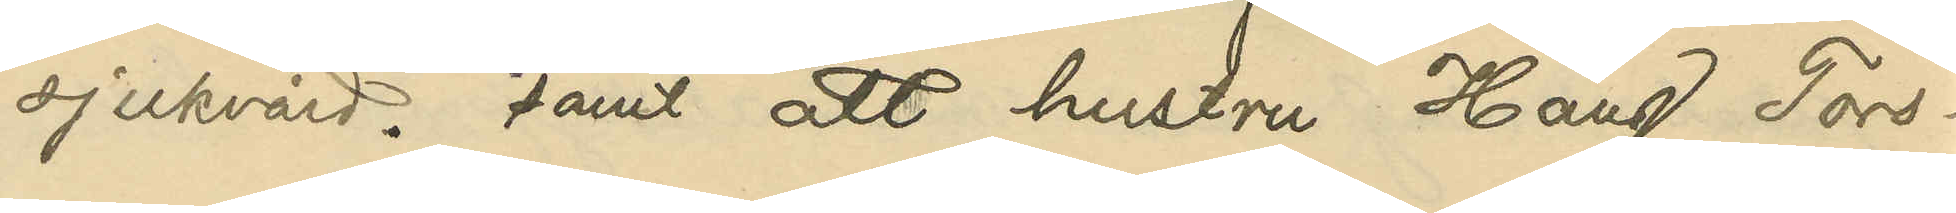sjukvård; samt att hustru Haug Tors¬
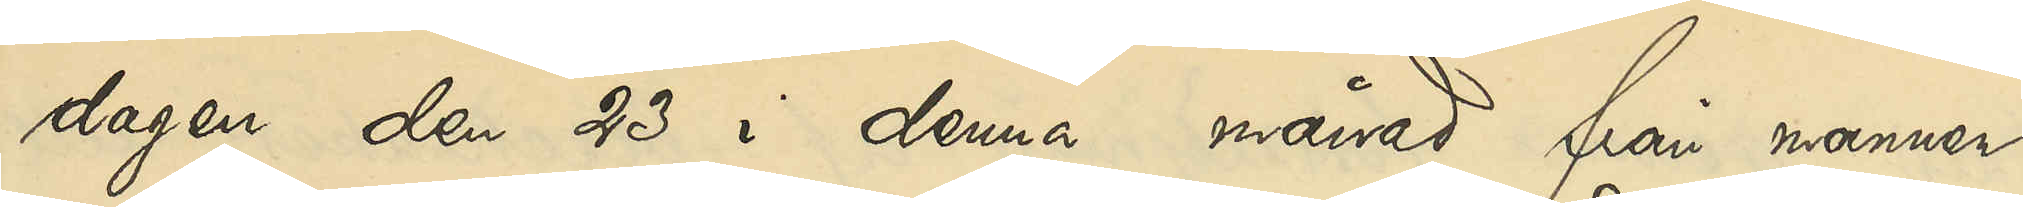dagen den 23 i denna månad från mannen
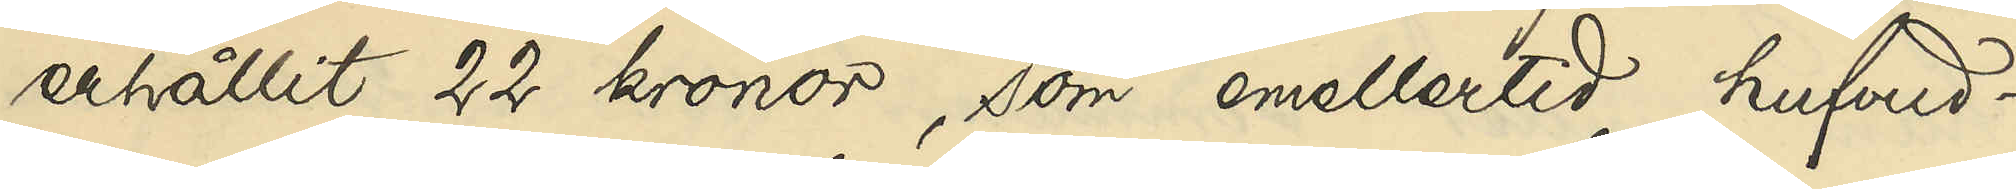erhållit 22 kronor, som emellertid hufvud¬
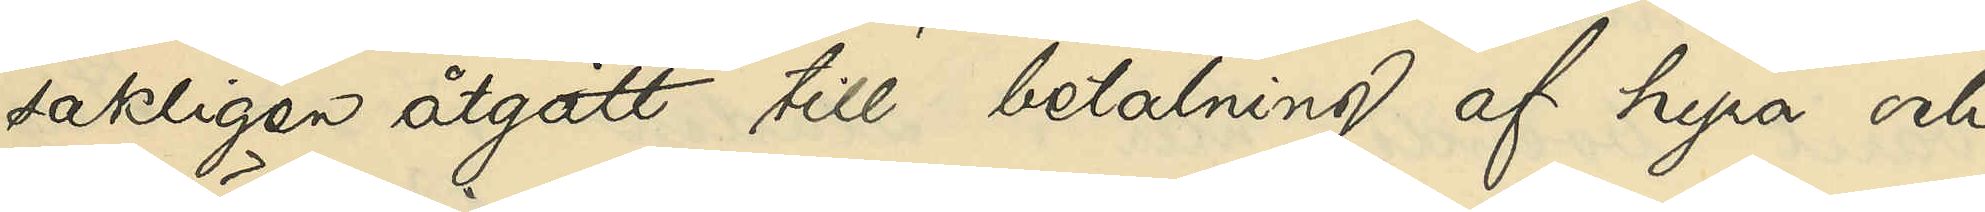sakligen åtgått till betalning af hyra och
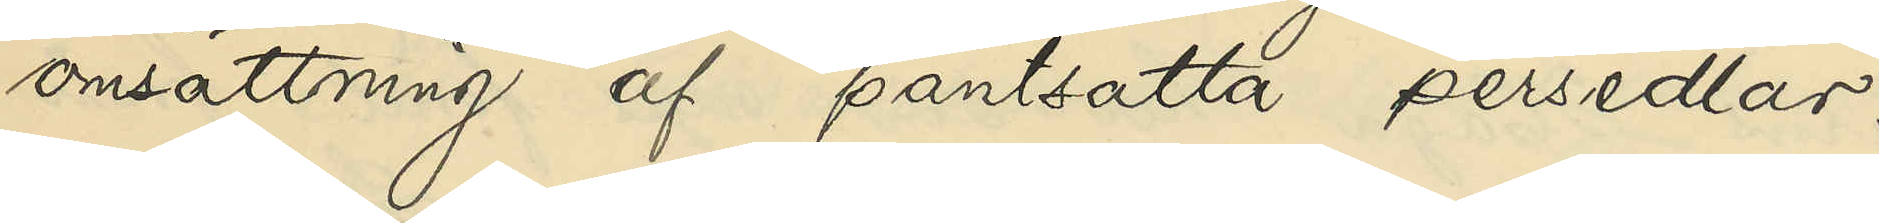omsättning af pantsatta persedlar.
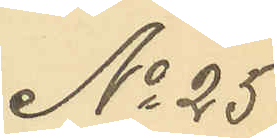No 25
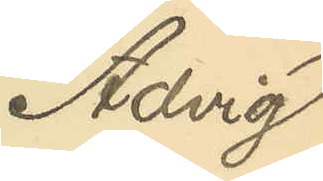Advig
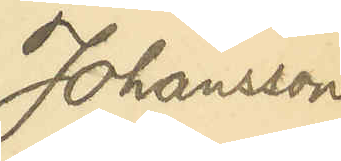Johansson
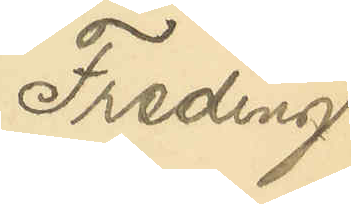Freding
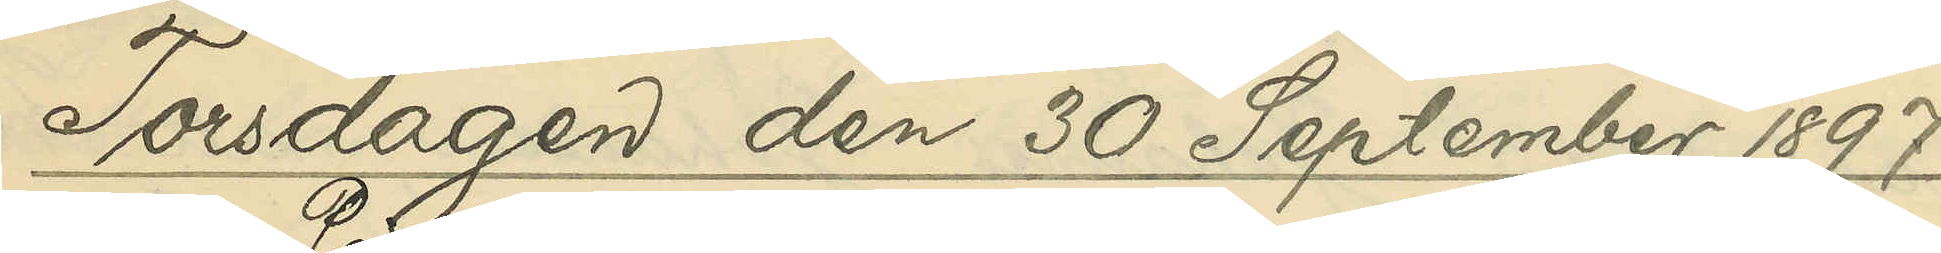Torsdagen den 30 September 1897
